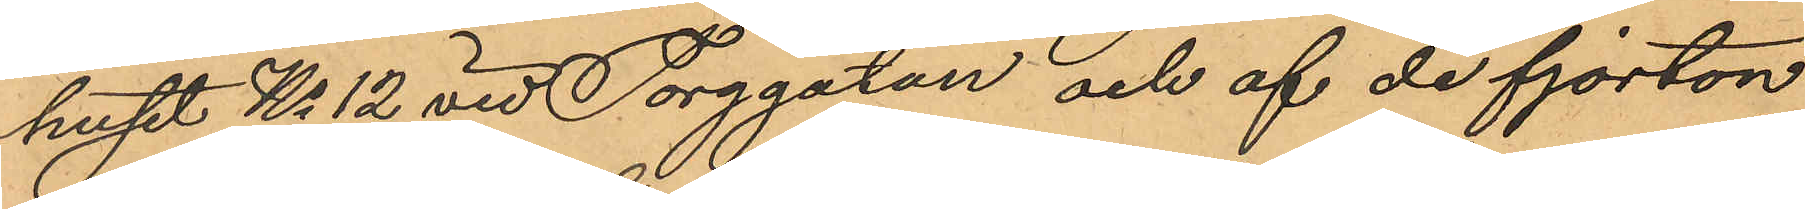huset No 12 vid Torggatan och af de fjorton
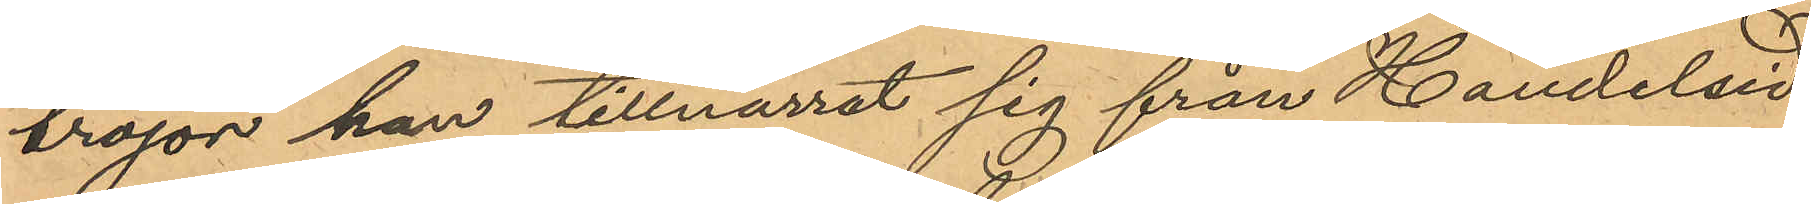tröjor han tillnarrat sig från Handelid¬
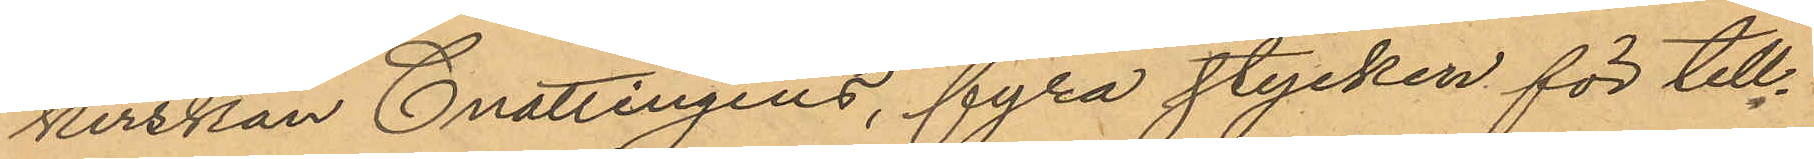kerskan Cnattingius, fyra stycken för till¬
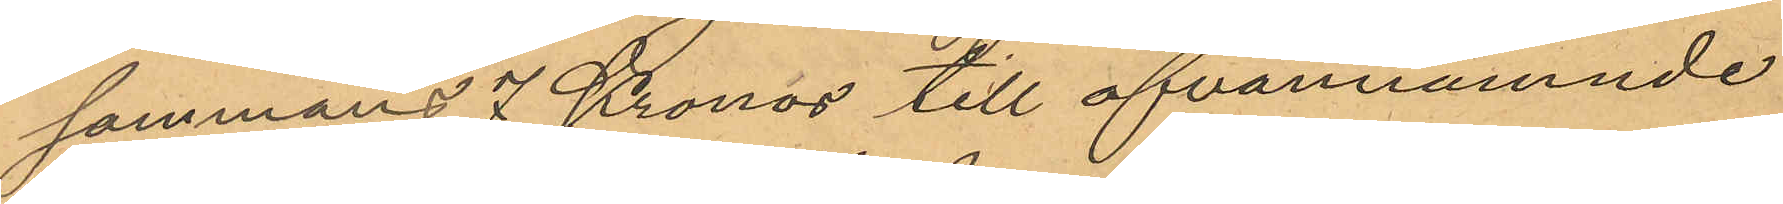sammans 7 Kronor till ofvannämnde
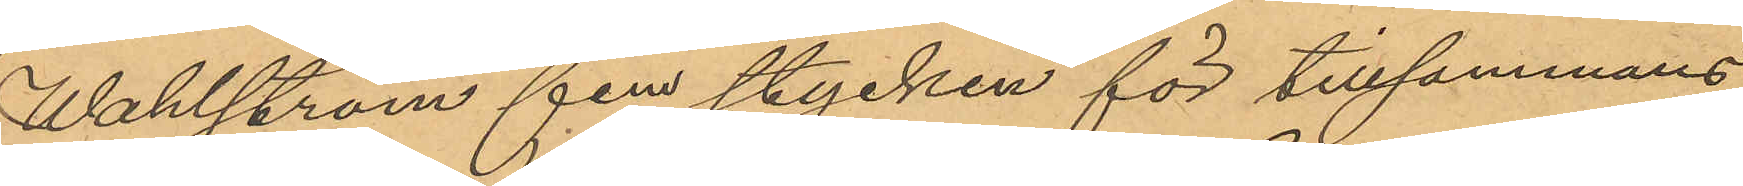Wahlström fem stycken för tillsammans
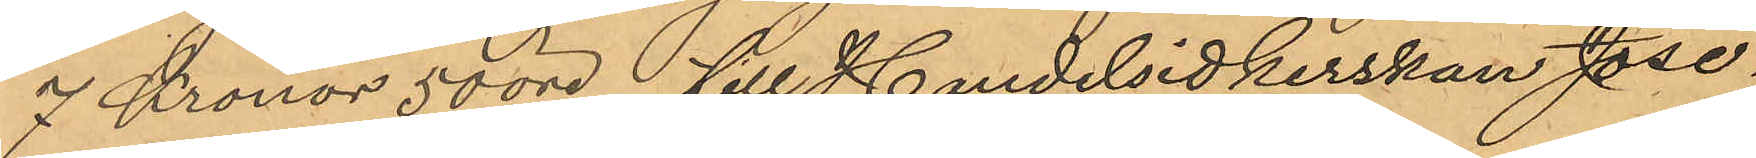7 Kronor 50 öre till Handelsidkerskan Jose¬
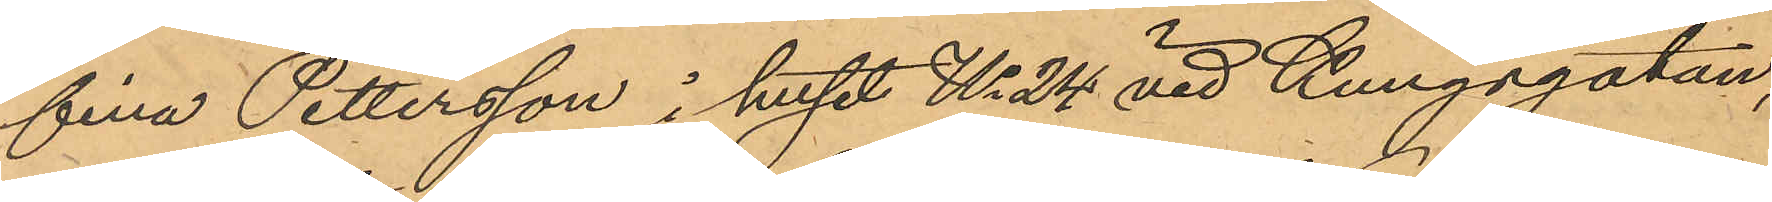fina Pettersson i huset No 24 vid Kungsgatan,
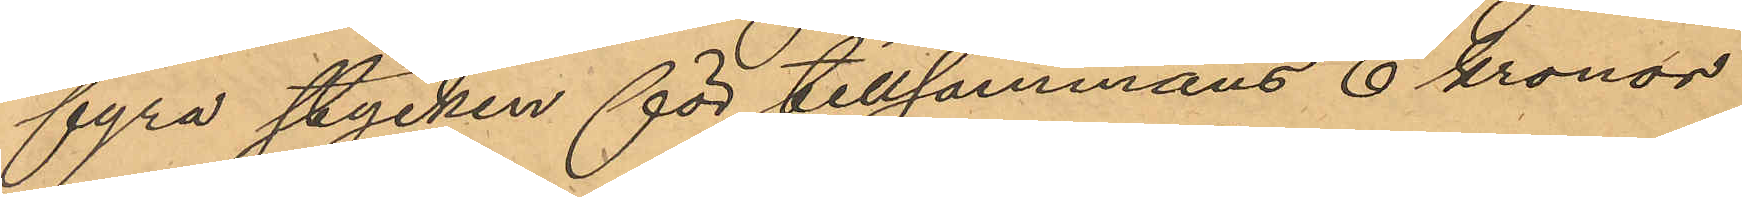fyra stycken för tillsammans 6 kronor
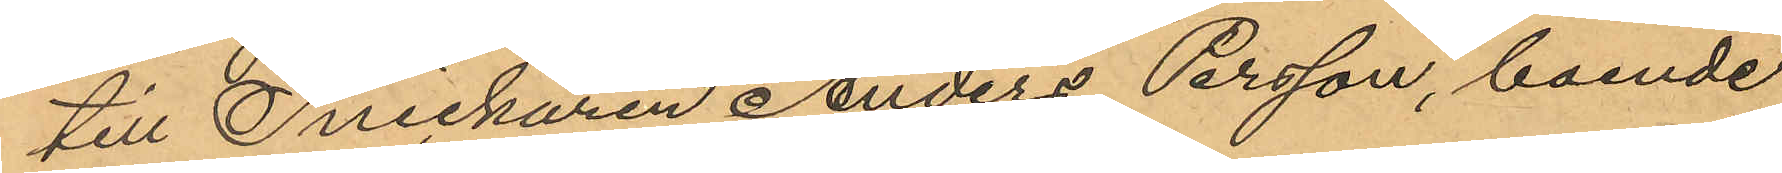till Snickaren Anders Persson, boende
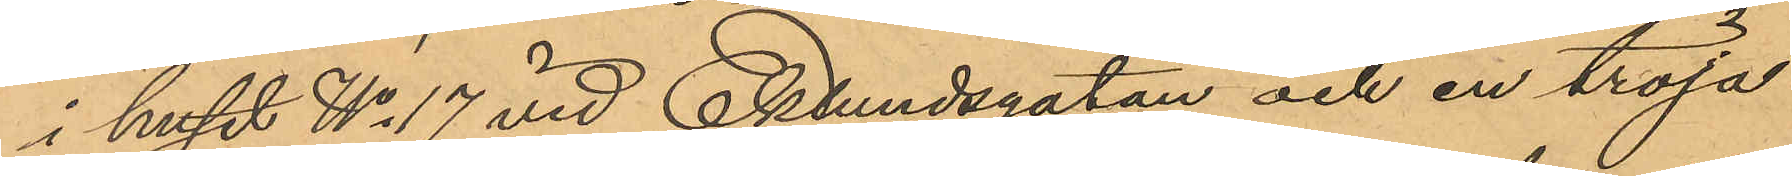i huset No 17 vid Eklundsgatan och en tröja
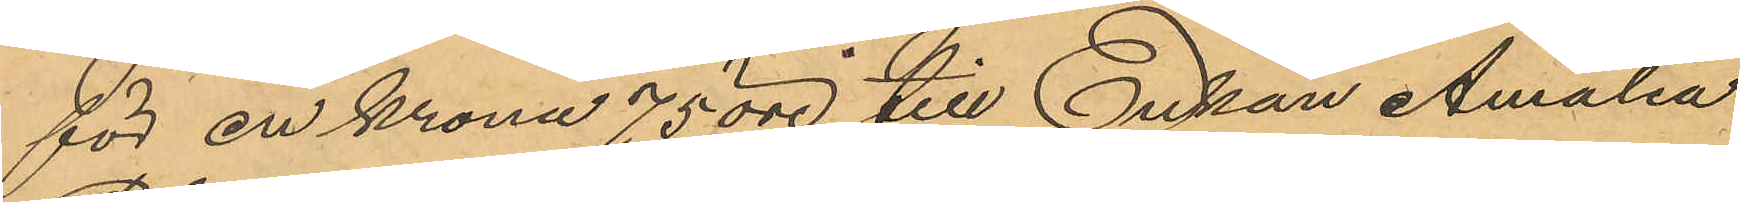för en krona 75 öre till Enkan Amalia
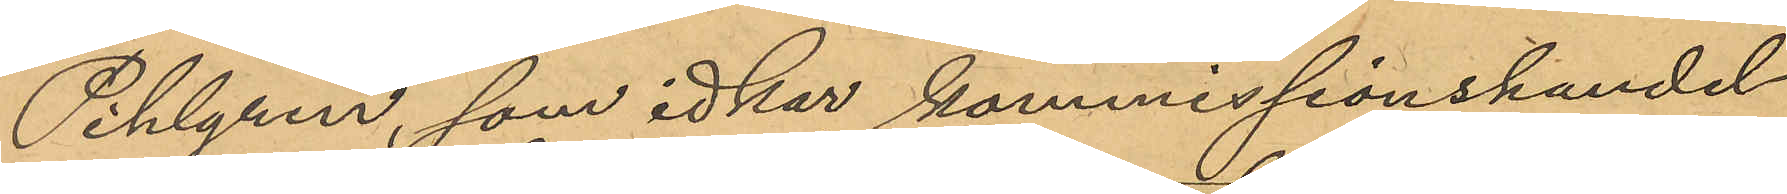Pihlgren, som idkar kommissionshandel
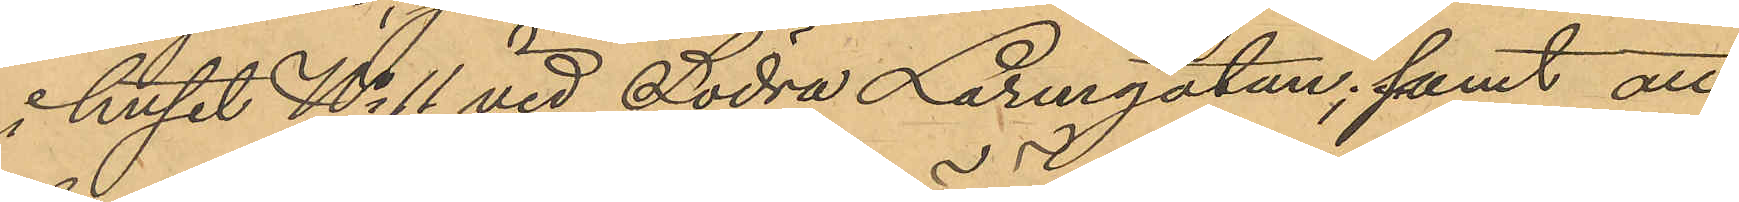i huset No 11 vid Södra Larmgatan; samt att
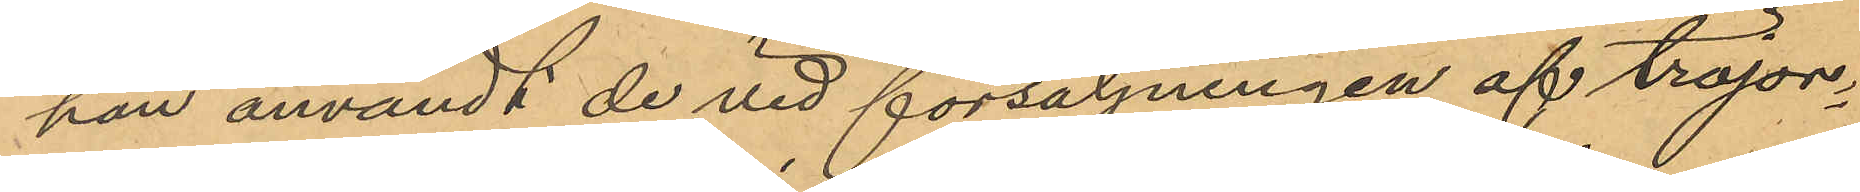han användt de vid försäljningen af tröjor¬
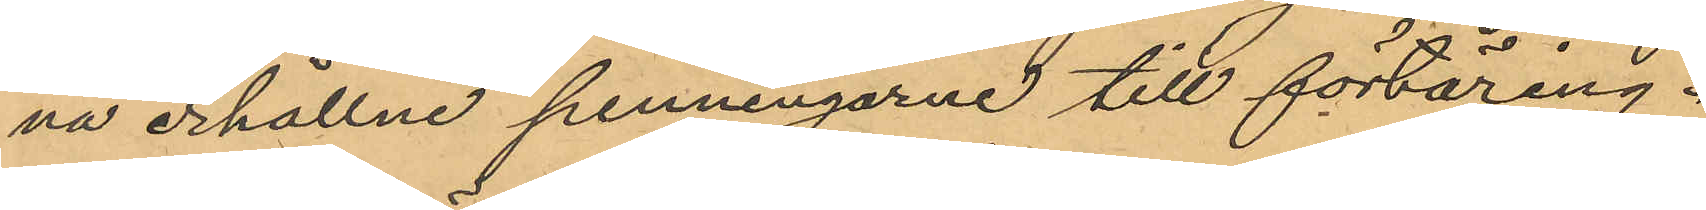na erhållne penningarne till förtäring.
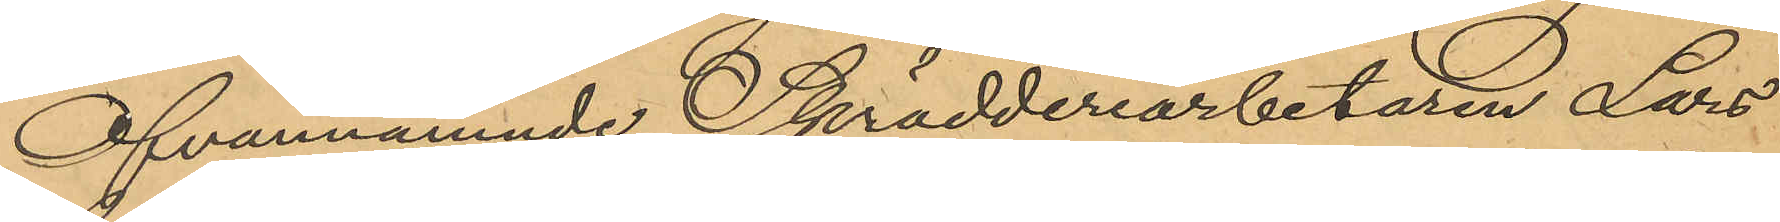Ofvannämnde Skrädderiarbetaren Lars
